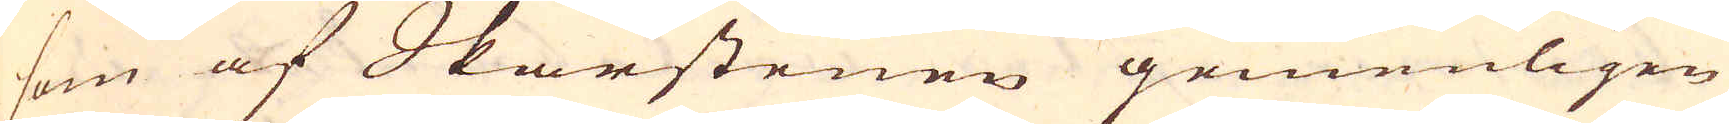som af Skärstenen gemenligen
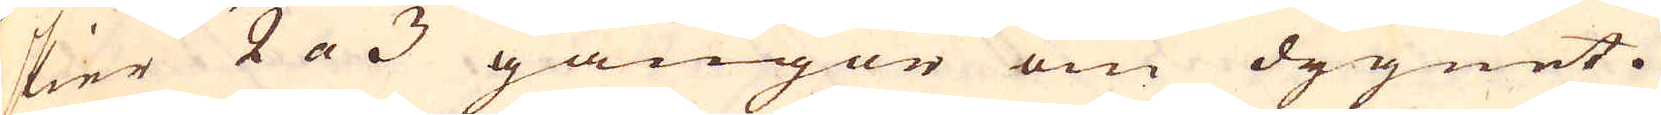skier 2 a 3 gångor om dygnet.
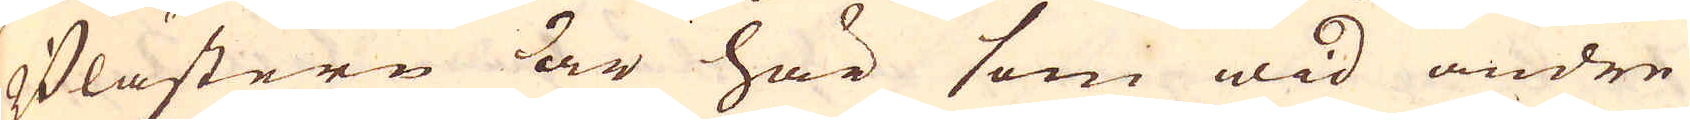Blästern är här som wid andre
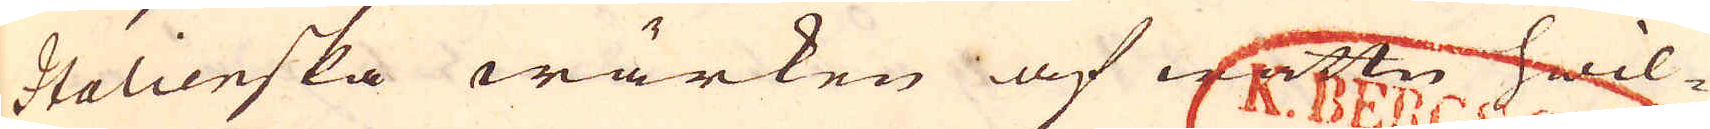Italieska wärken af wattn hwil-
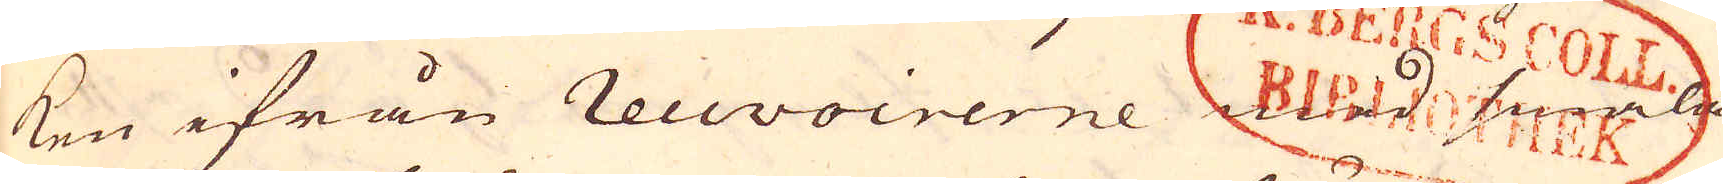ken ifrån recevoirerne med smala
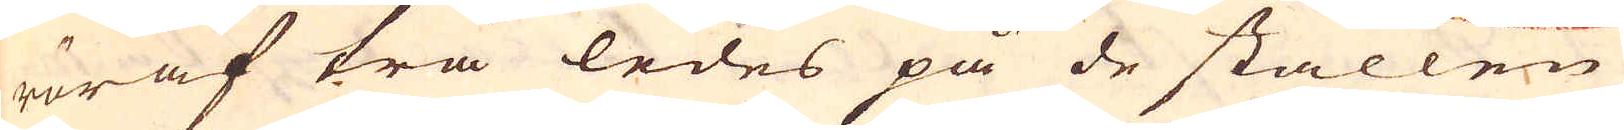rör af trä ledes på de ställen
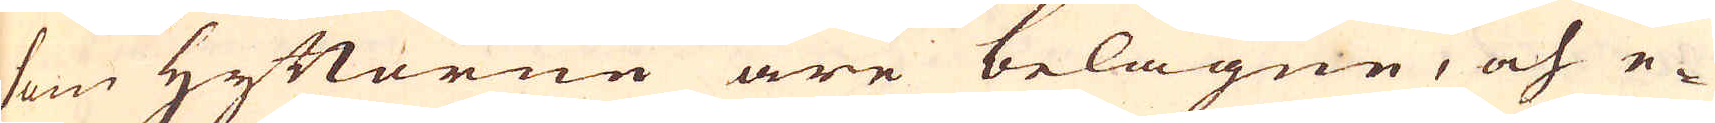som Hyttorne äre belägne, och e-
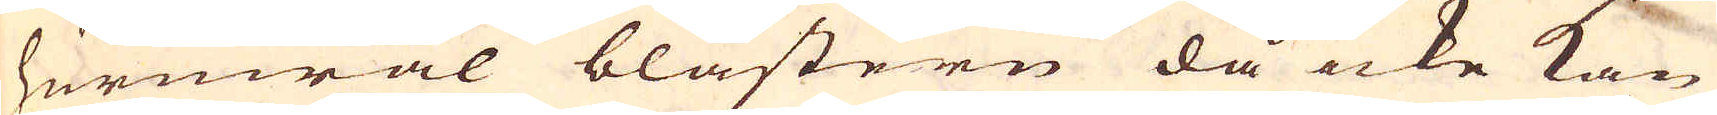huruwäl blästern då icke kan
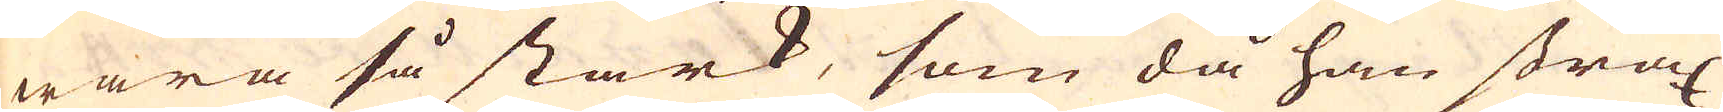wara så stark, som då han strax
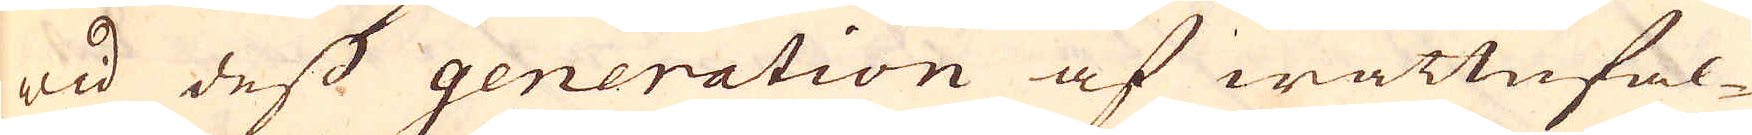wid dess generation af wattnfal-
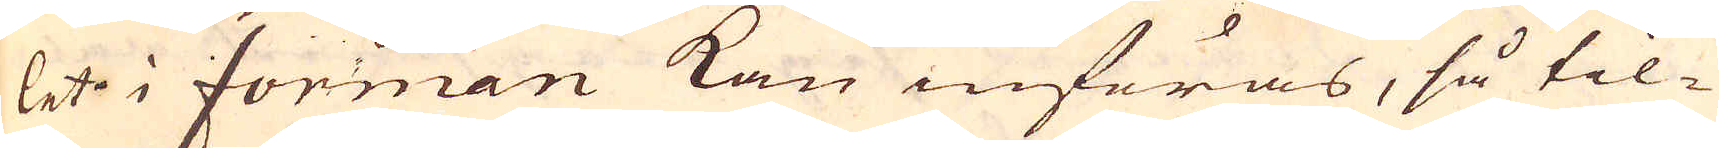let i forman kan införas, så til-
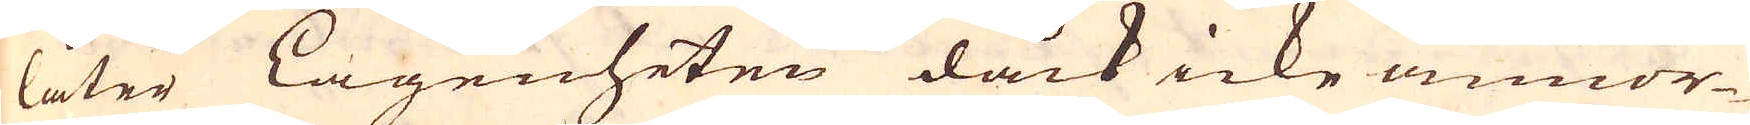låter Lagenheten dåck icke annor-
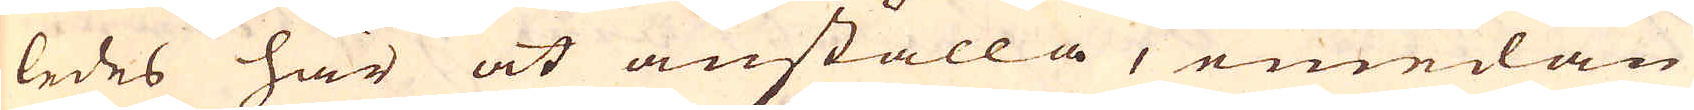ledes här at anställa, emedan
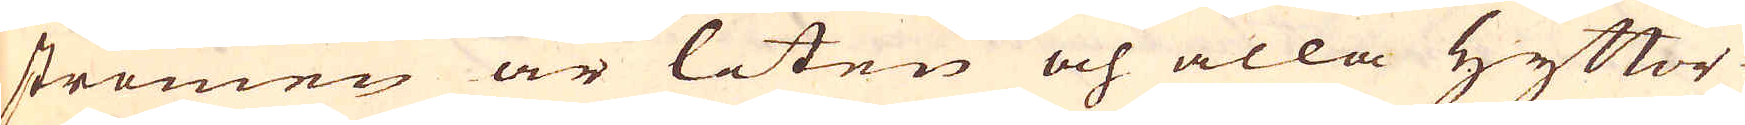strömen är liten och alla Hyttor-
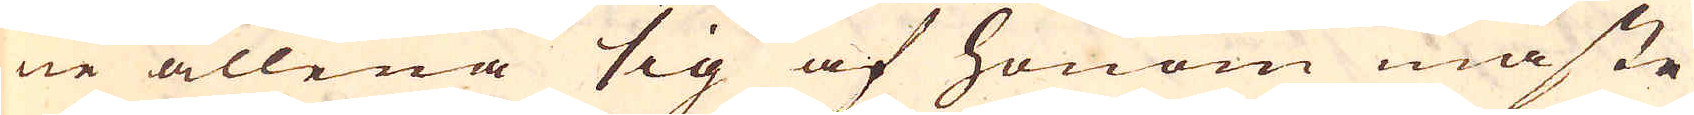ne allena sig af honom måste
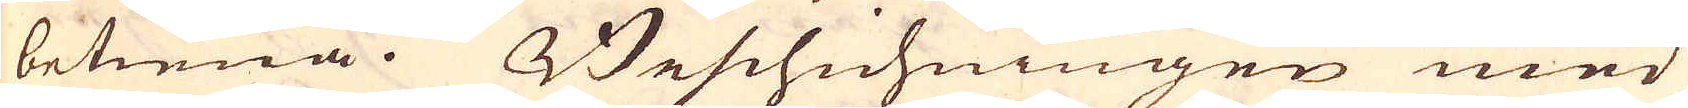betiena. Beschichningen med
